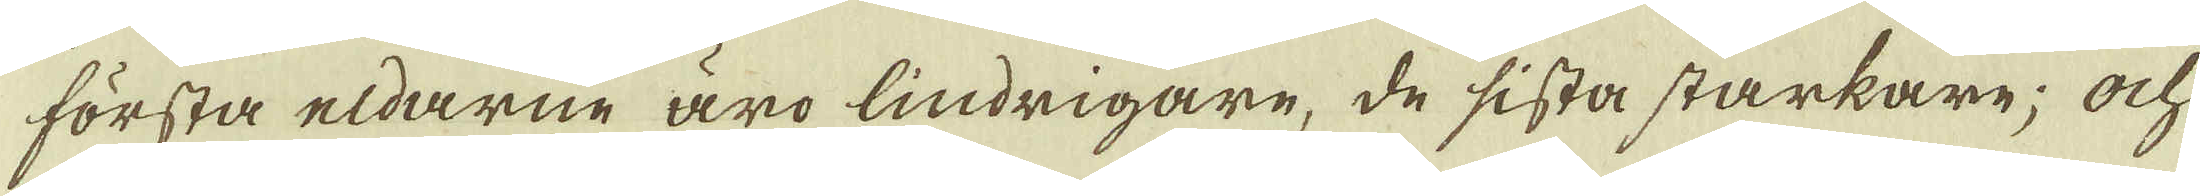första eldarne äro lindrigare, de sista starkare; ock
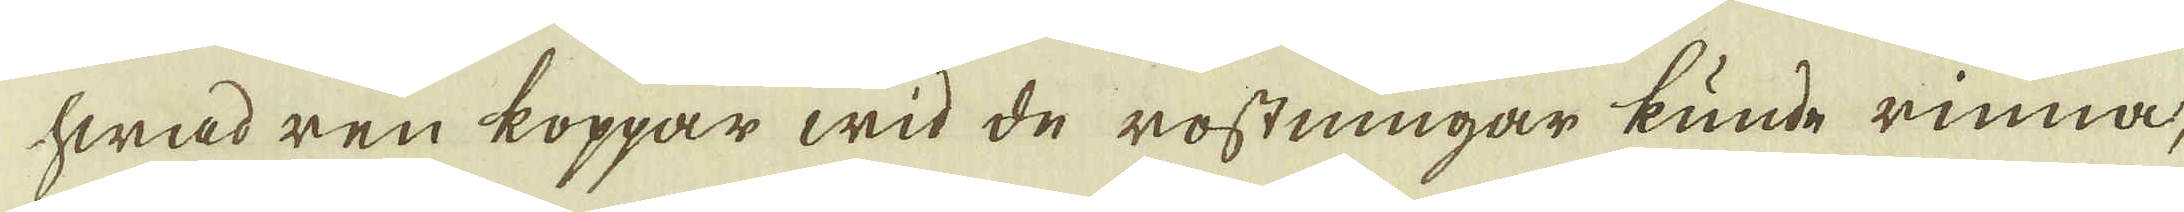hwad ren koppar wid de rostningar kunde rinna,
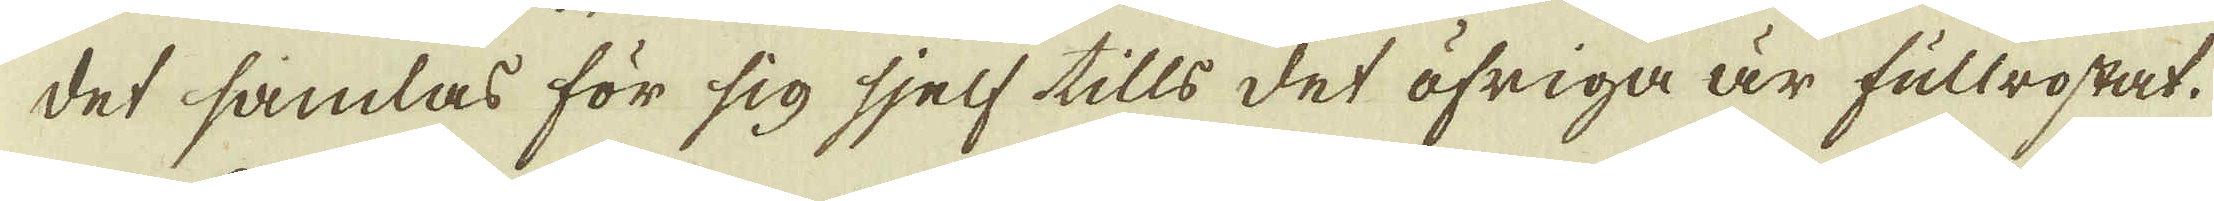det samlas för sig sjelf tills det öfriga är fullrostat.
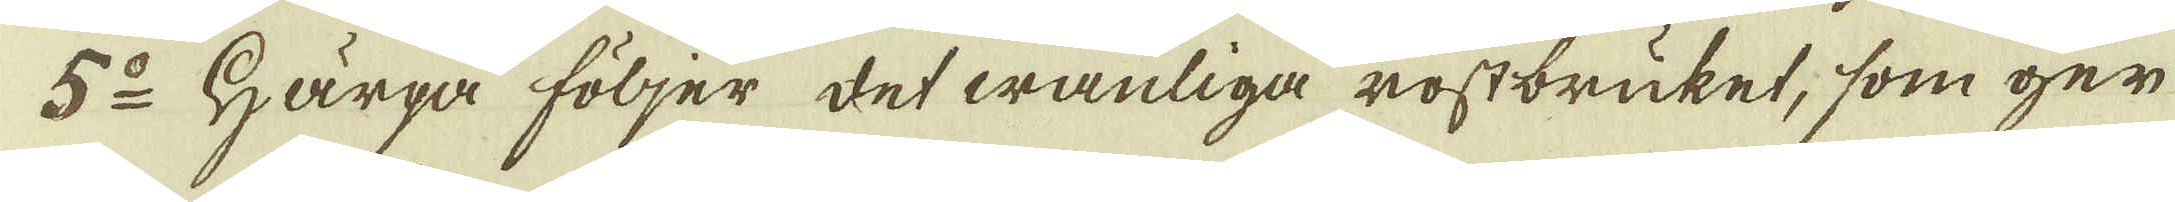5:o Härpå följer det wanliga rostbruket, som ger
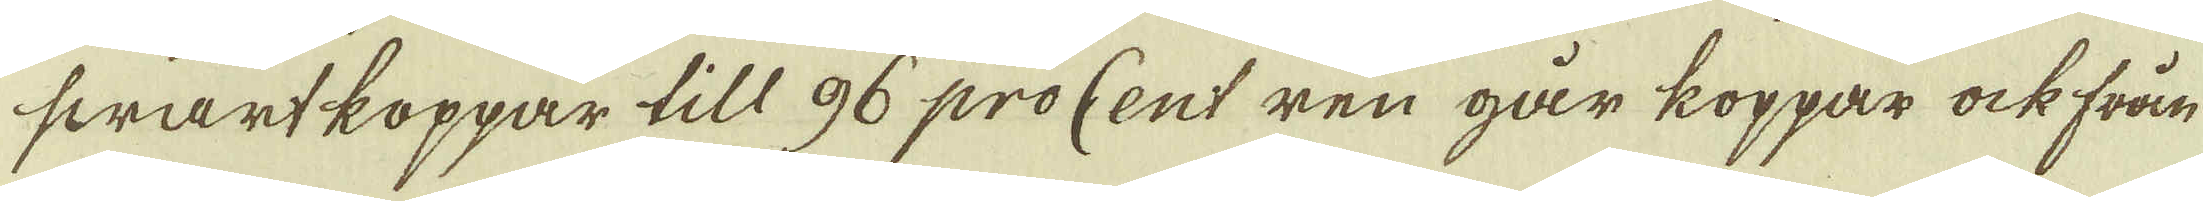swartkoppar till 96 procent ren går koppar ock från
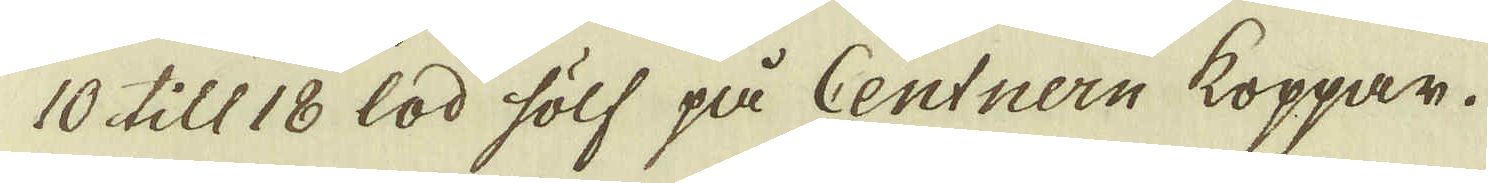10 till 18 lod sölf på Centnern koppar.
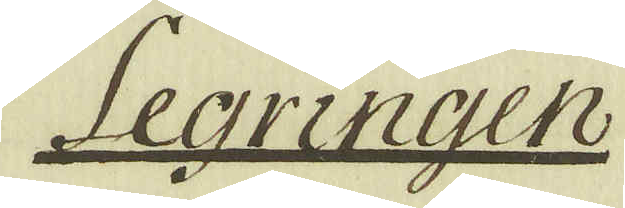Legringen
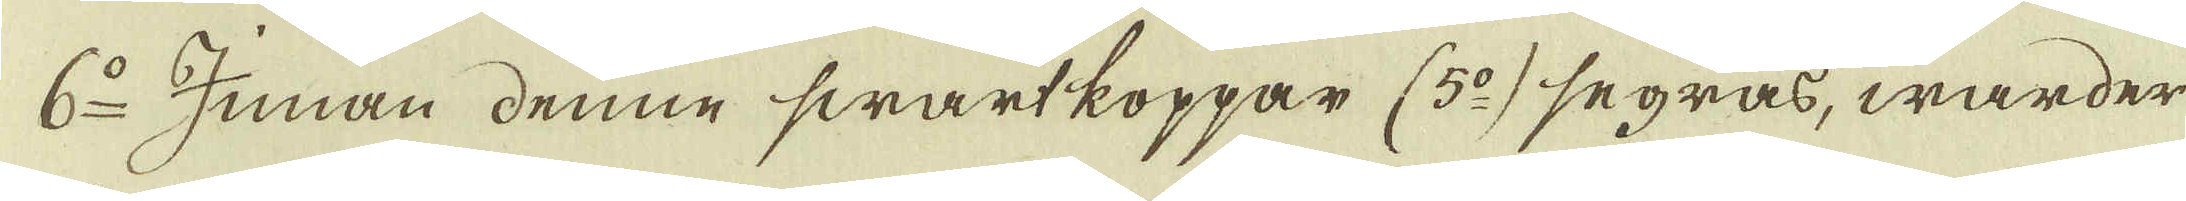6:o Junan denne swartkoppar (5:o) segras, warder
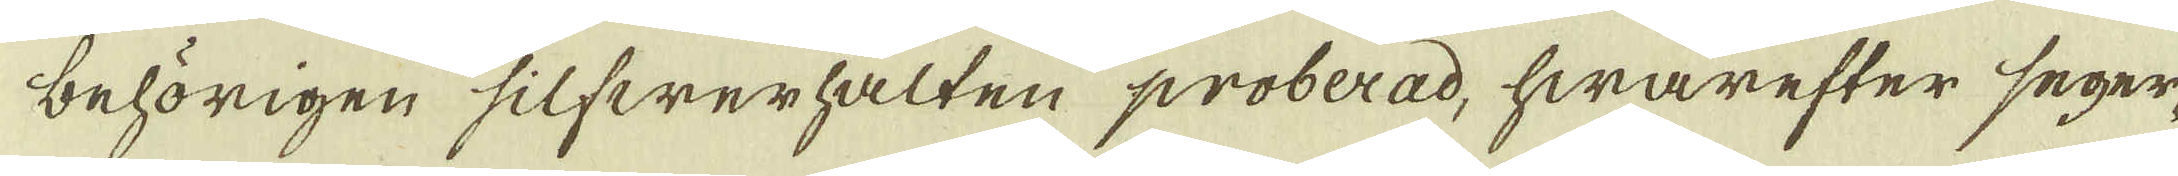behörigen silfwerhalten proberad, hwarefter seger-
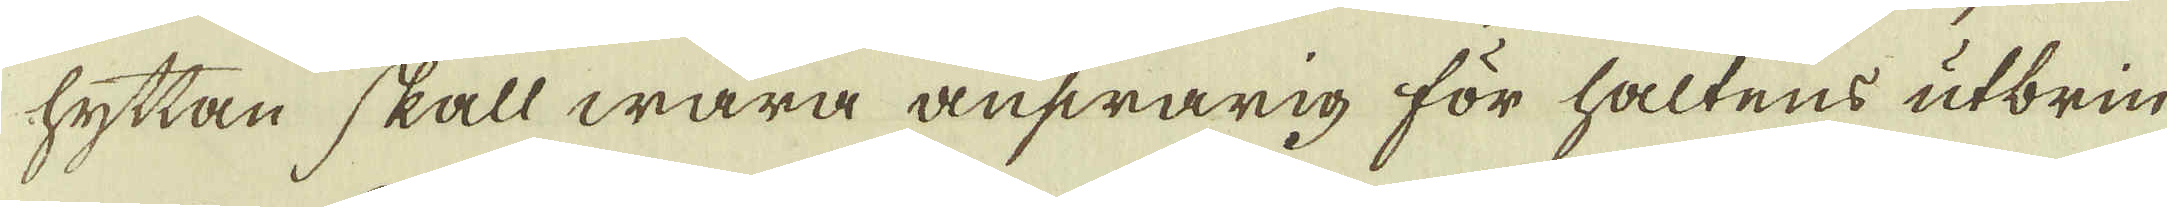hyttan skall wara answarig för haltens utbrin-
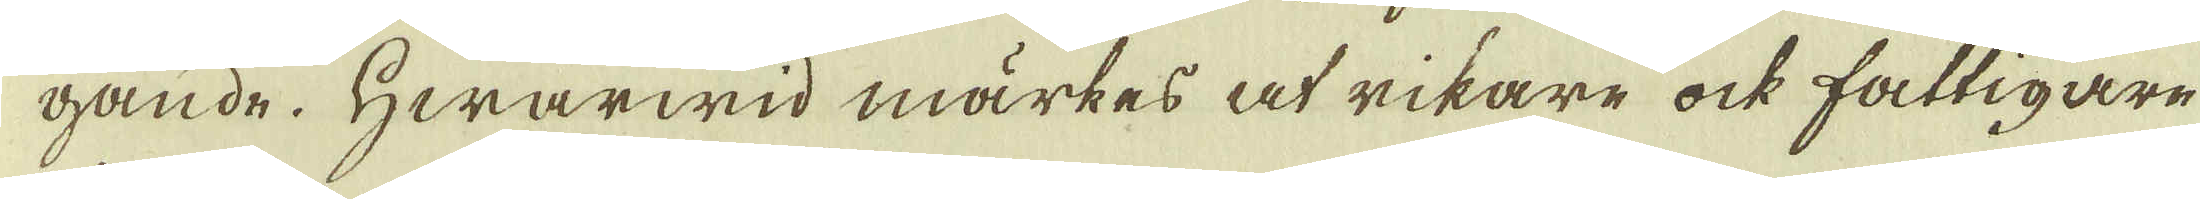gande. Hwarwid märkes at rikare ock fattigare
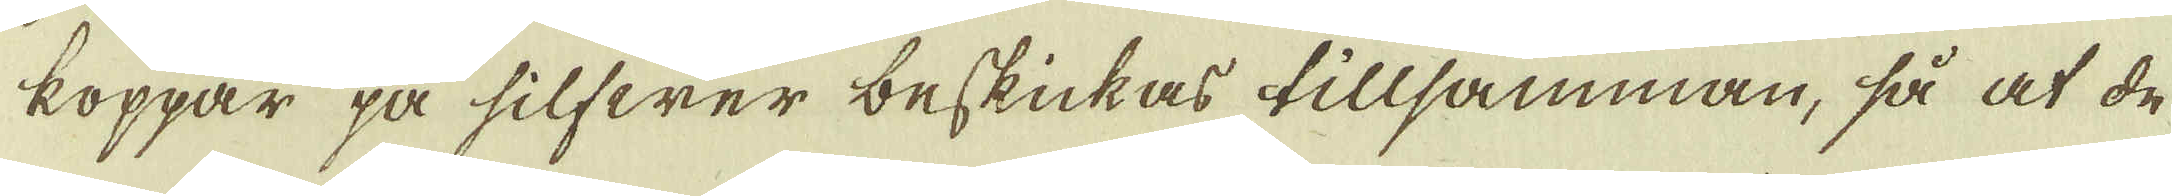koppar på silfwer beskickas tillsamman, så at de-
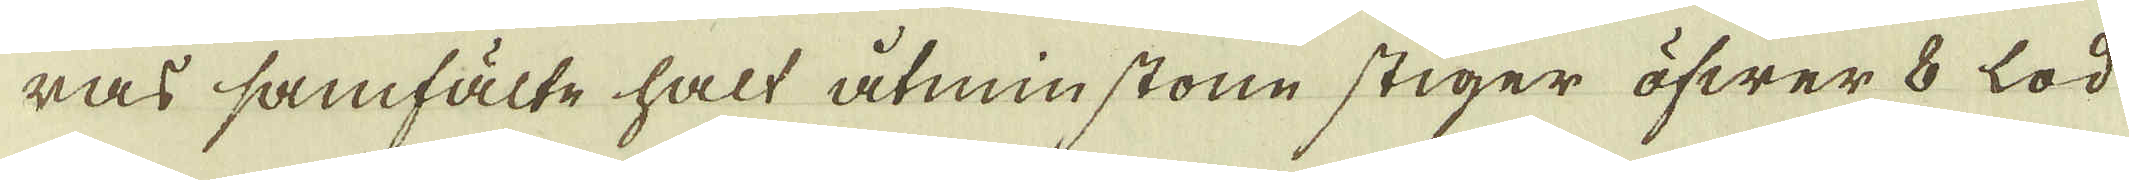ras samfälte halt åtminstone stiger öfwer 8 lod
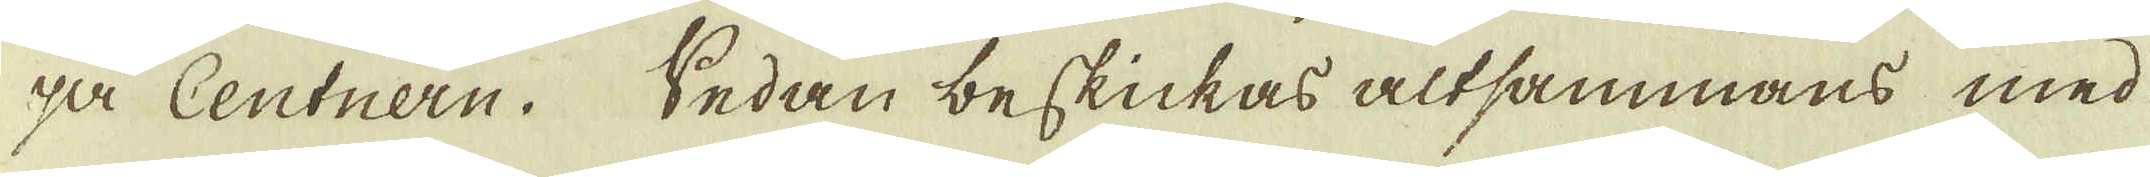på Centnern. Sedan beskickas altsammans med
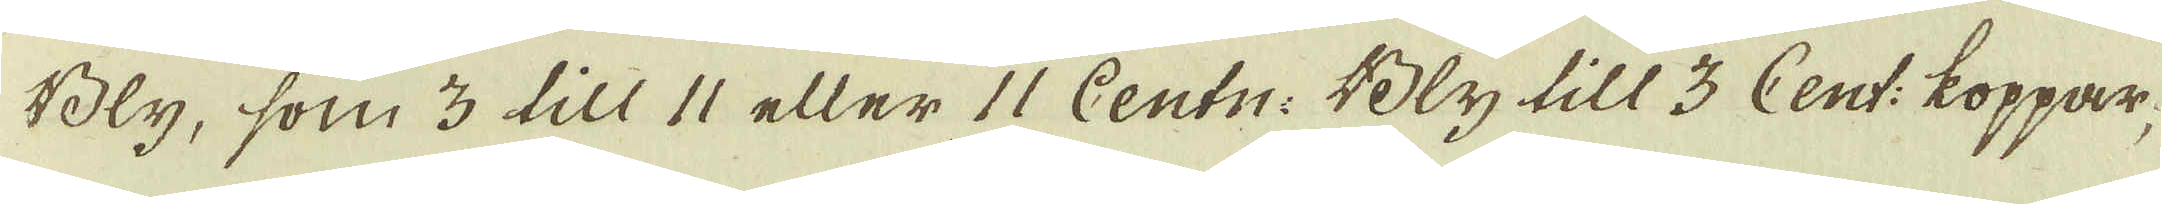Bly, som 3 till 11 eller 11 Centn: Bly till 3 Cent: koppar-
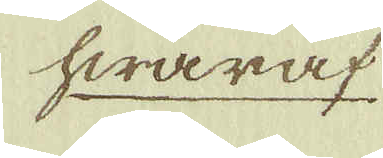hwaraf
